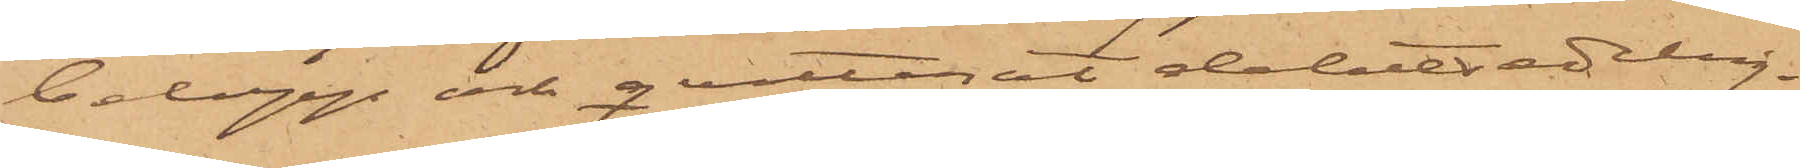belopp och qvitterat debetsedeln.
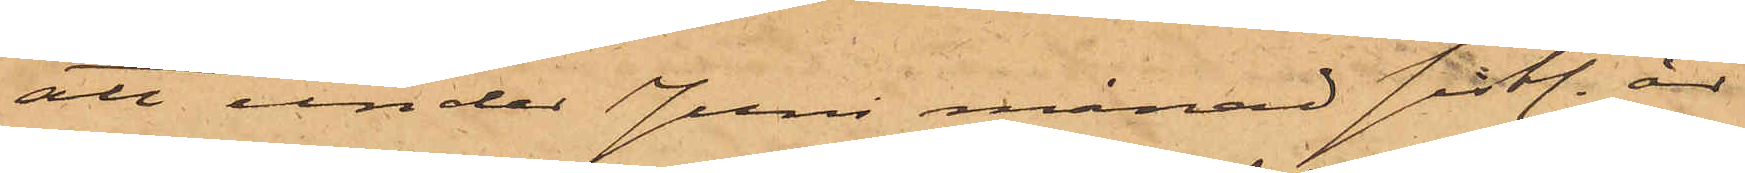att under Juni månad sistl. år
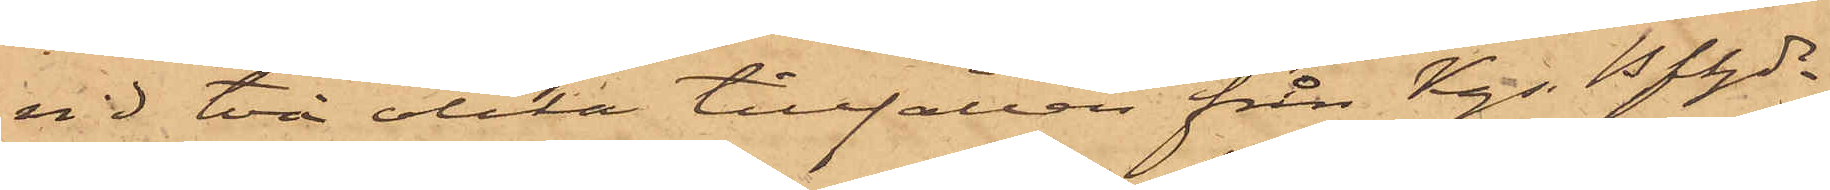vid två olika tillfällen från Kgs Bfhde
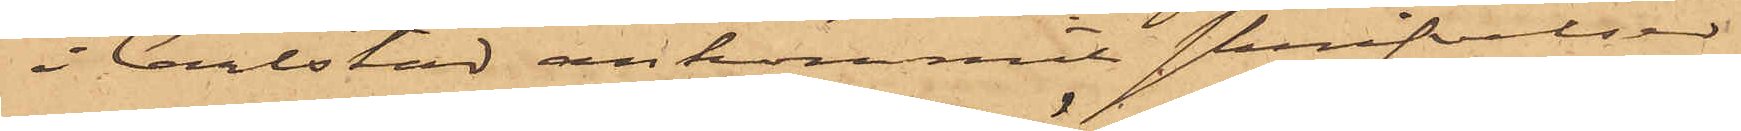i Carlstad ankommit skrifvelser
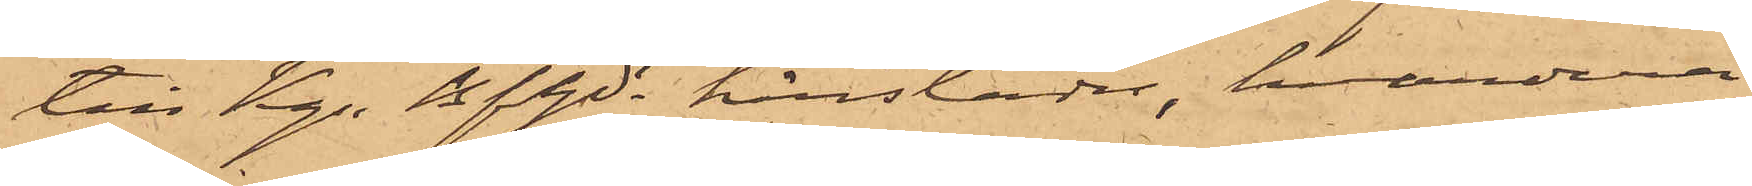till Kgs Bfhde härstädes, hvardera
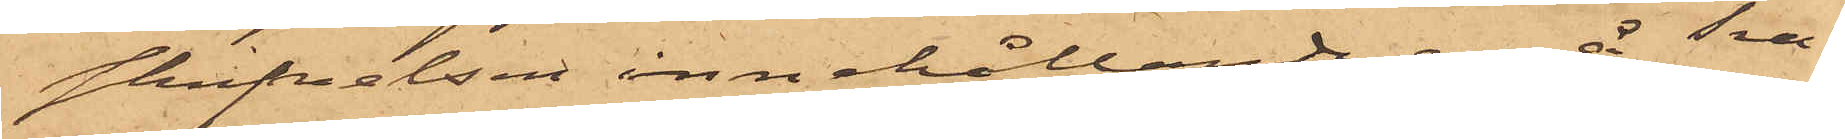skrifvelsen innehållande en å Tra¬
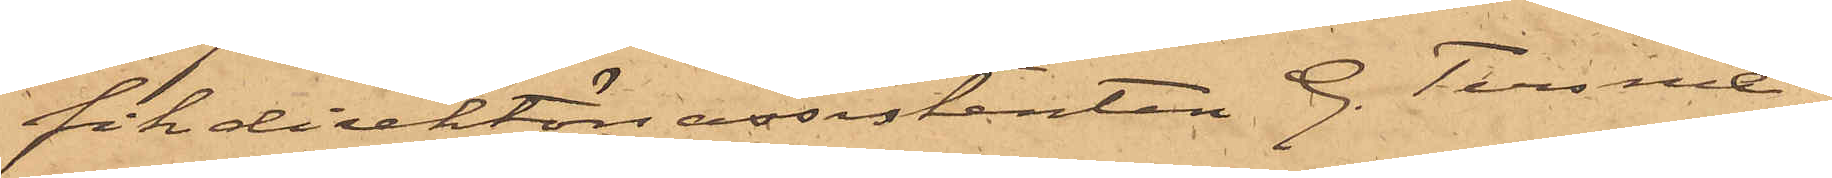fikdirektörsassistanten G. Tersme¬
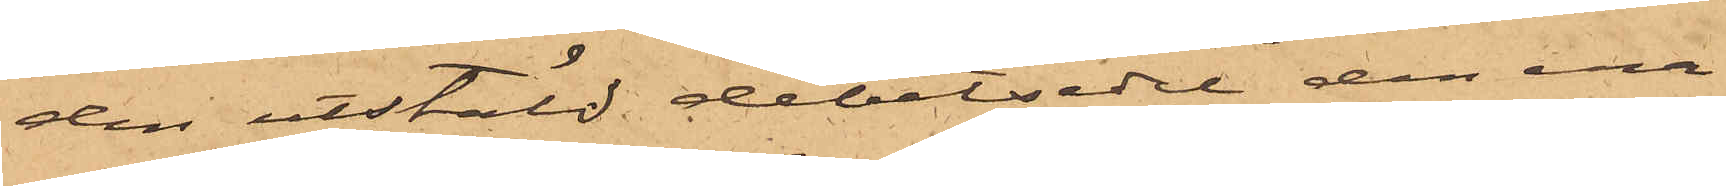den utstäld debetsedel, den ena
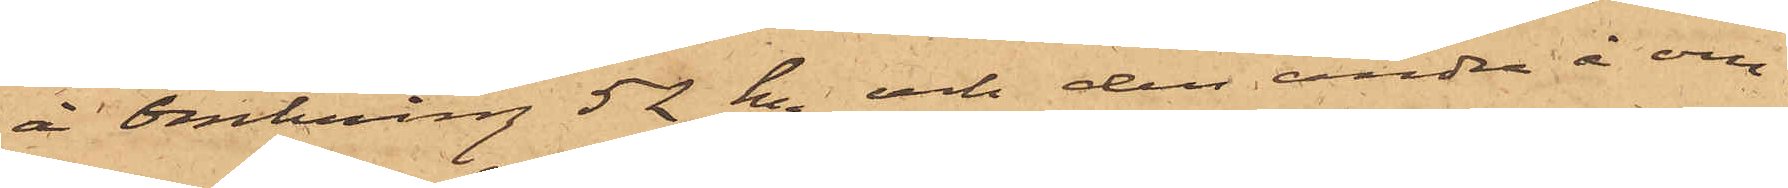å omkring 52 k. och den andra å om¬
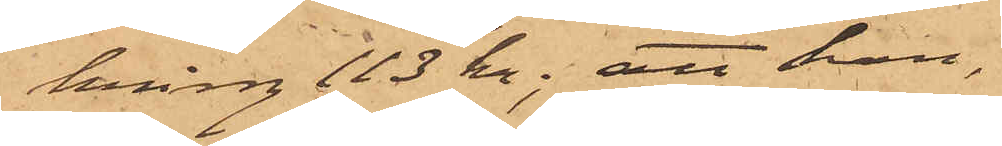kring 113 Kr; att han,
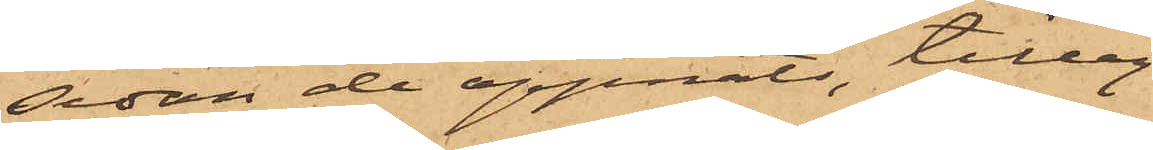sedan de öppnats, tilleg¬
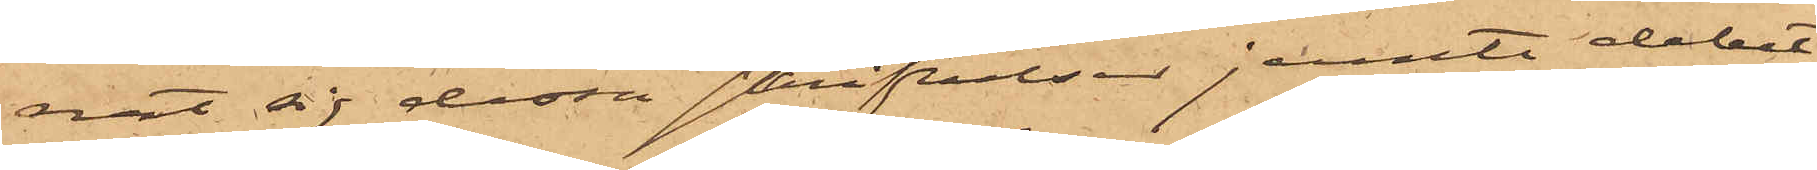nat sig dessa skrifvelser jemte debet¬
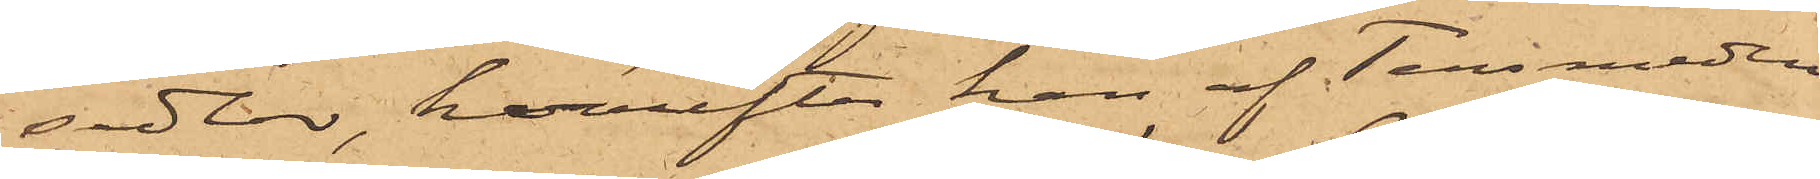sedlar, härefter han af Tersmeden
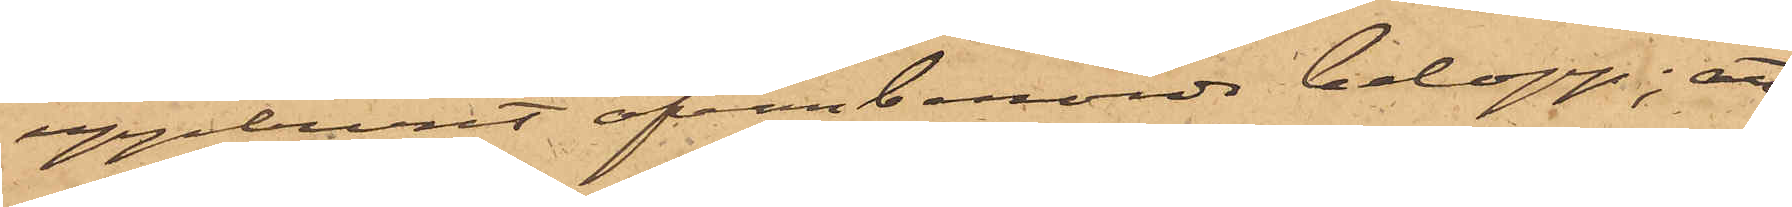uppburit ofvanberörde belopp; att
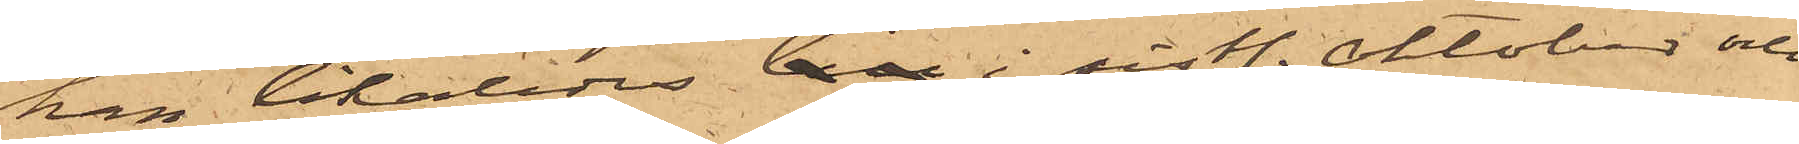han likaledes i sistl. Oktober och
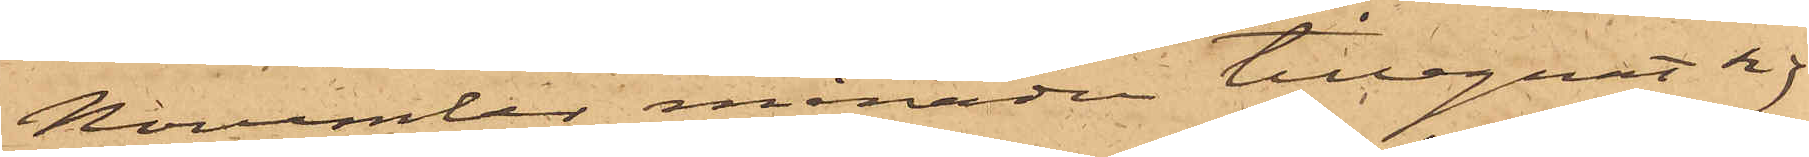November månaden tillegnat sig
